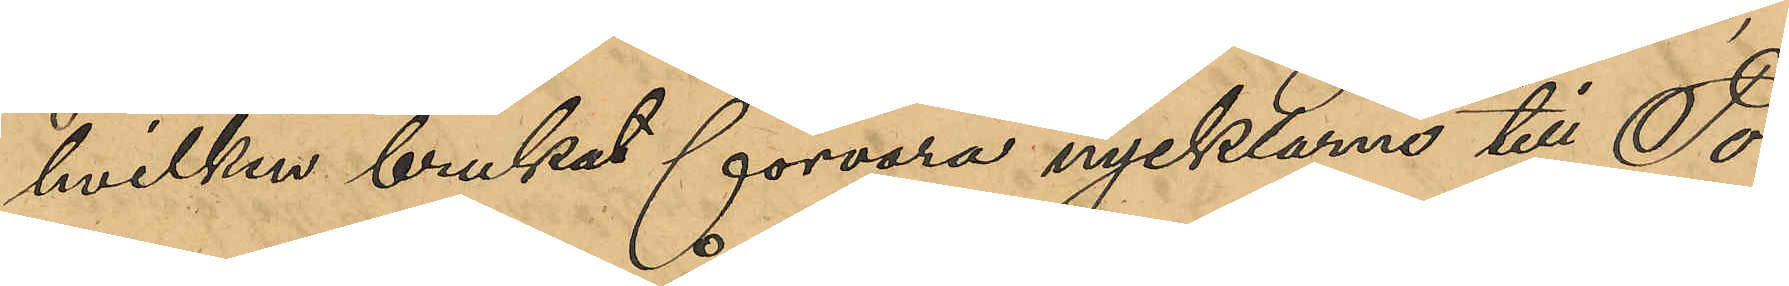hvilken brukat förvara nycklarna till To¬
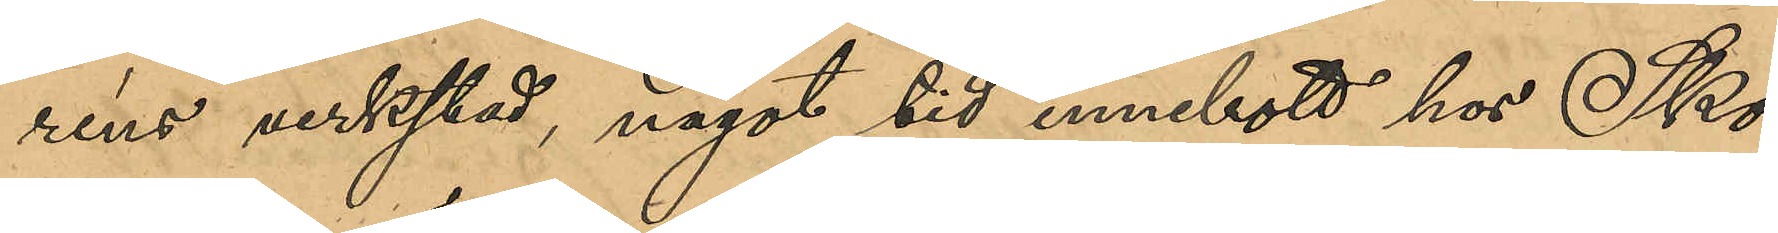réns verkstad, något tid innebott hos Sko¬
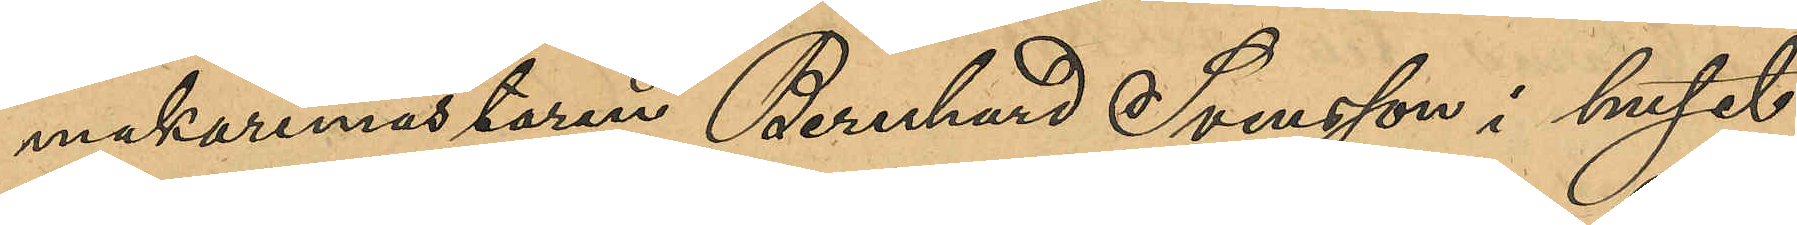makaremästaren Bernhard Svensson i huset
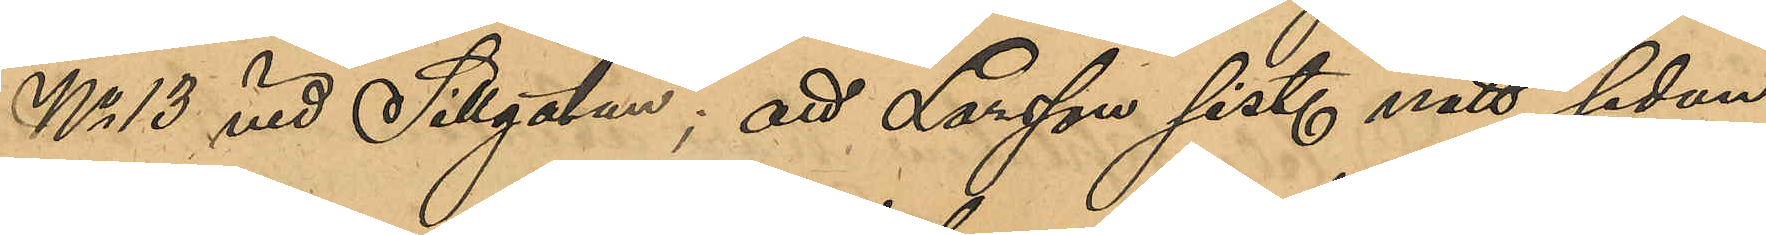No 13 vid Sillgatan; att Larsson sist. natt sedan
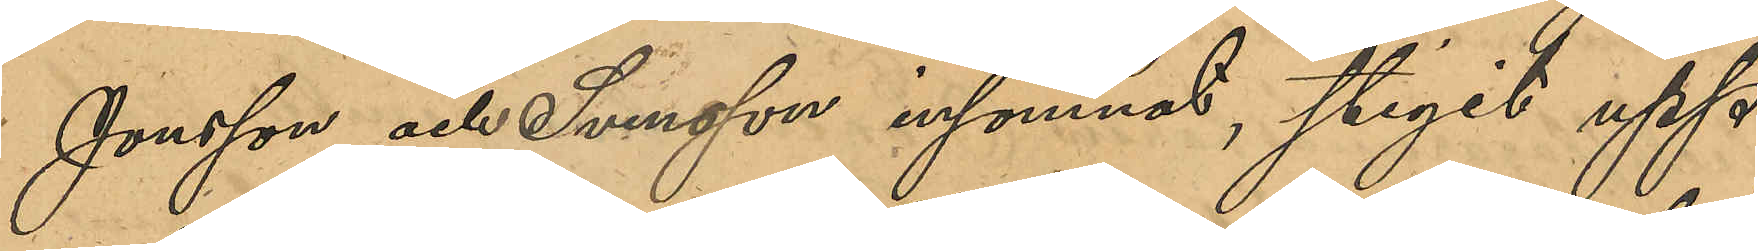Jonsson och Svensson insomnat, stigit upp
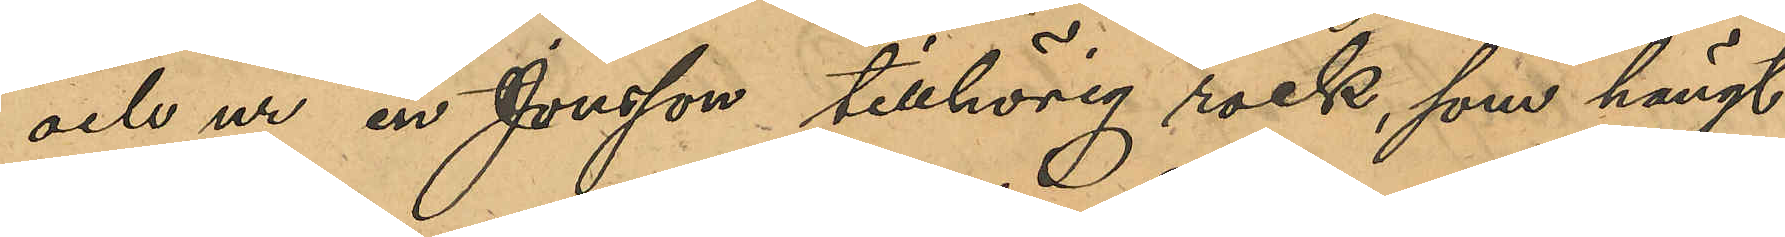och ur en Jonsson tillhörig rock, som hängt
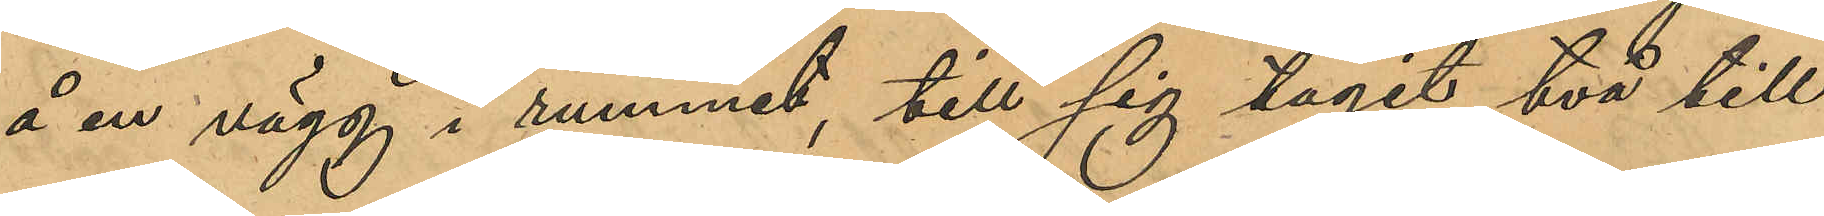å en vägg i rummet, till sig tagit två till
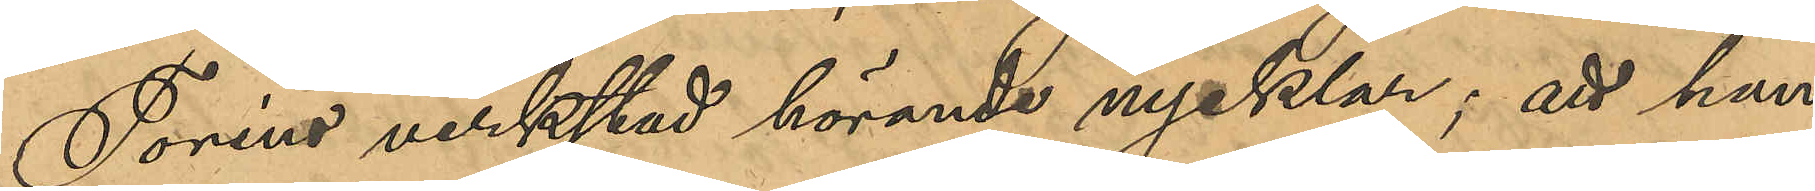Toréns verkstad hörande nycklar; att han
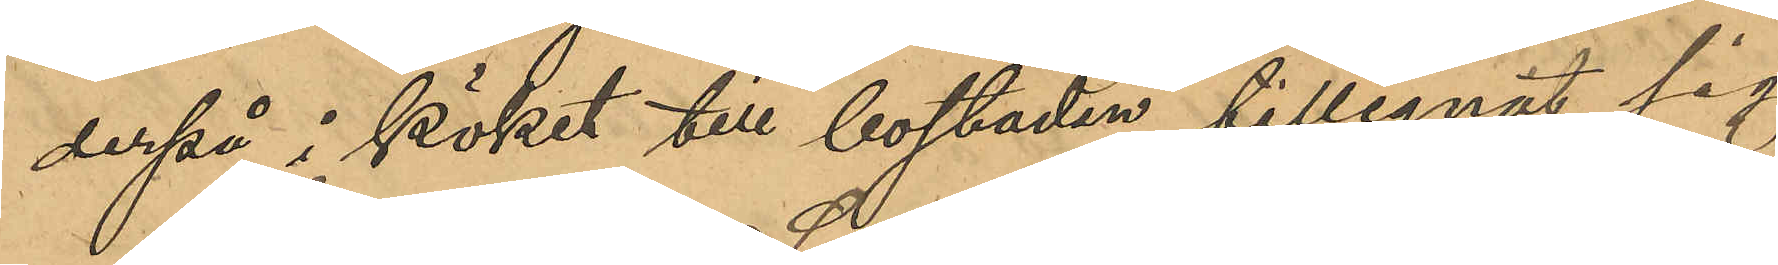derpå i köket till bostaden tillegnat sig
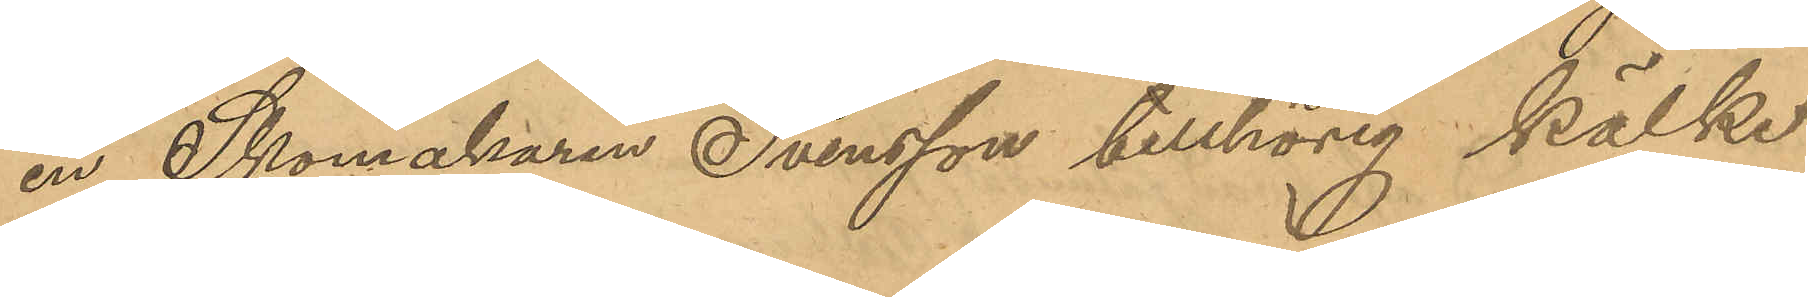en Skomakaren Svensson tillhörig kälke
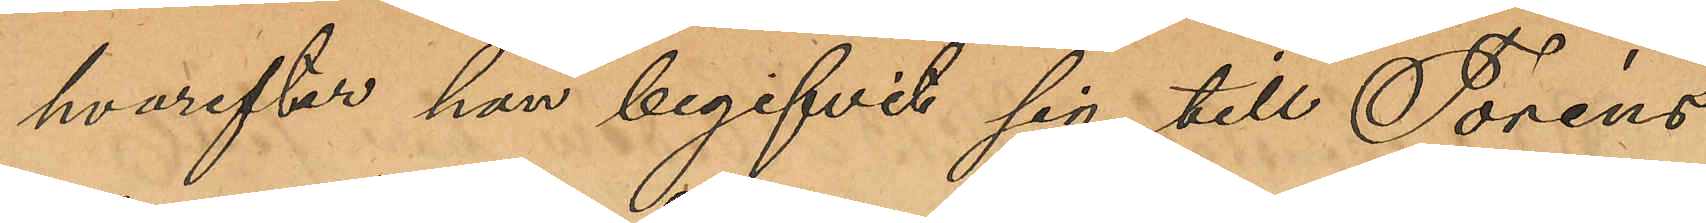hvarefter han begifvit sig till Toréns
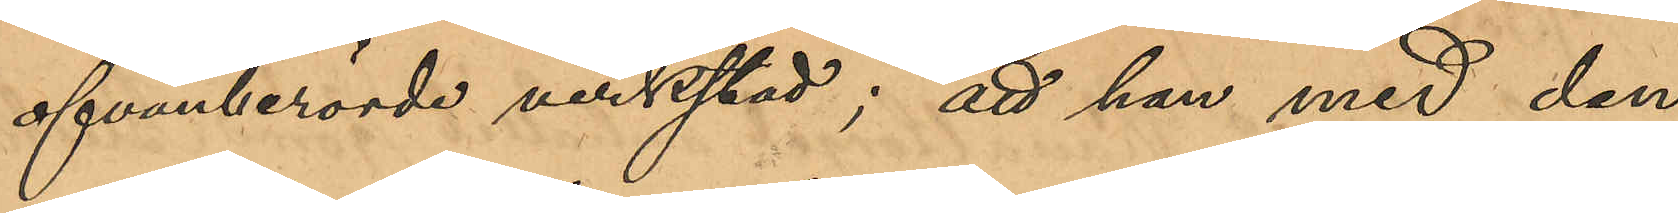ofvanberörde verkstad; att han med den
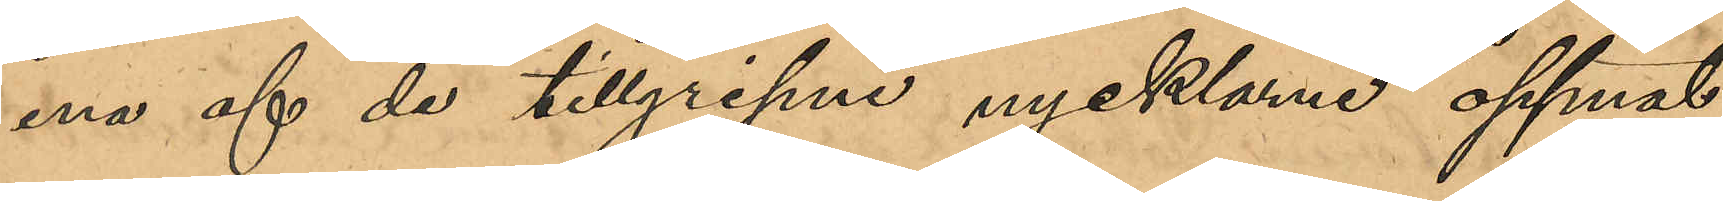ena af de tillgripne nycklarna öppnat
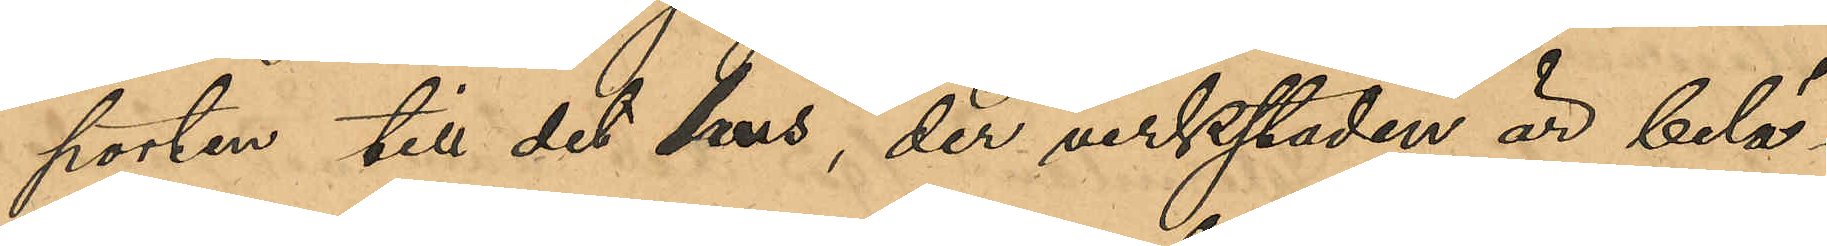porten till det hus, der verkstaden är belä¬
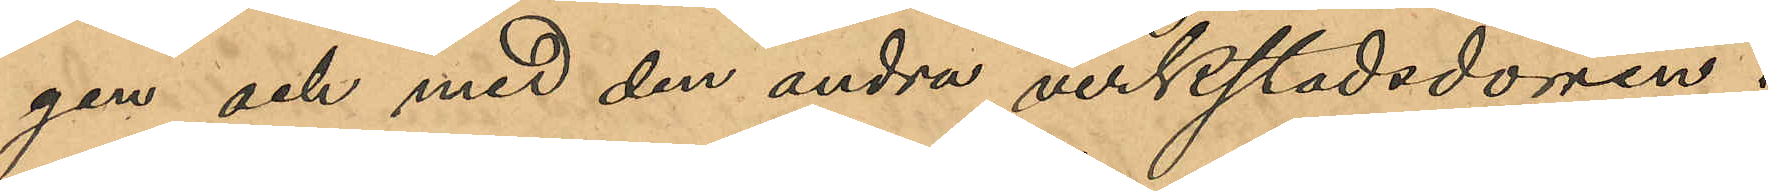gen och med den andra verkstadsdörren;
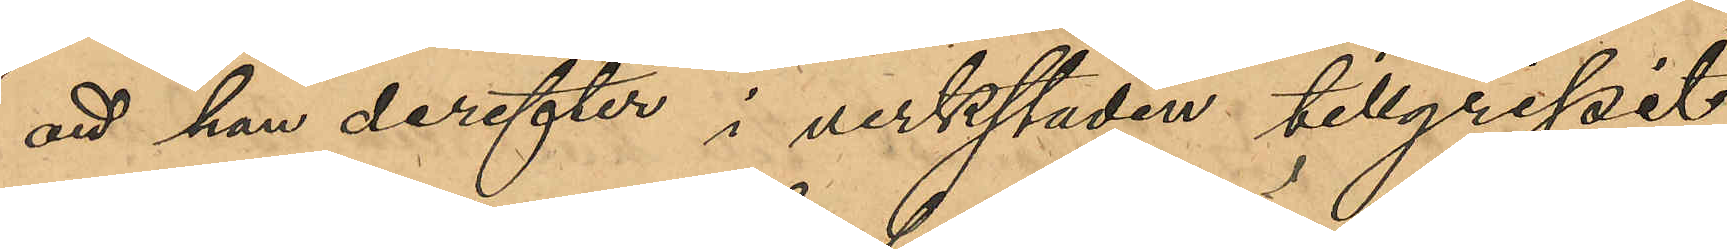att han derefter i verkstaden tillgripit
